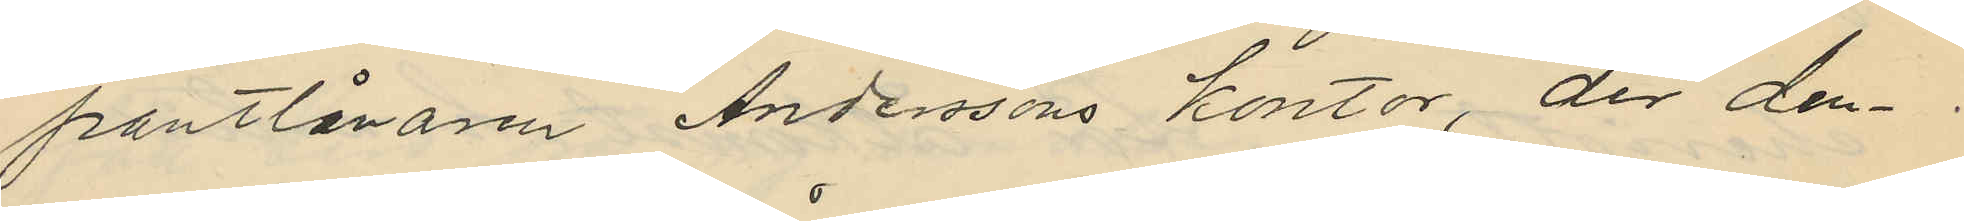pantlånaren Anderssons kontor, der den¬
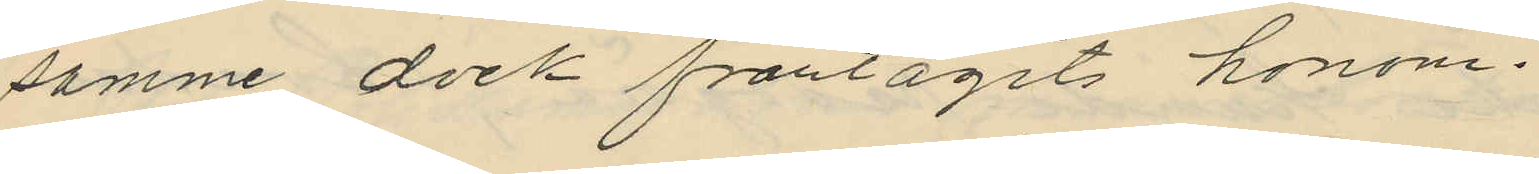samme dock fråntagits honom.
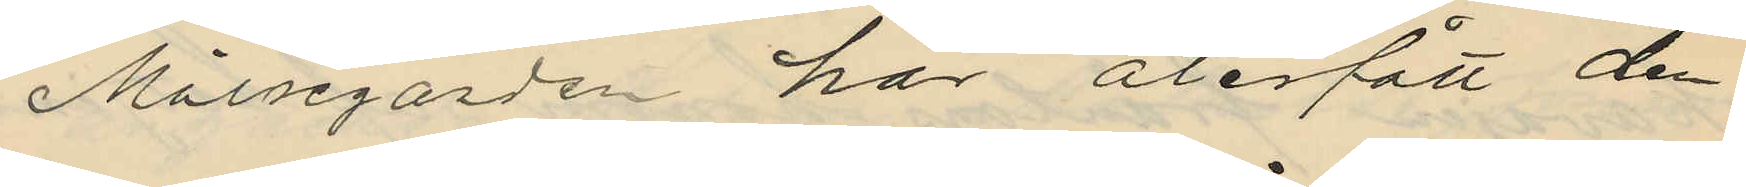Målseganden har återfått den
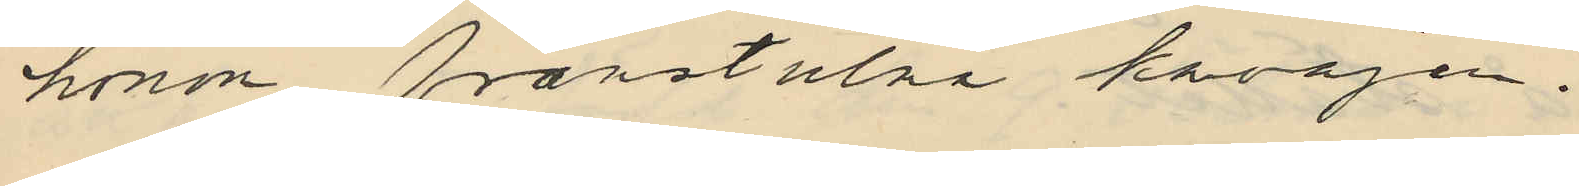honom frånstulna kavajen.
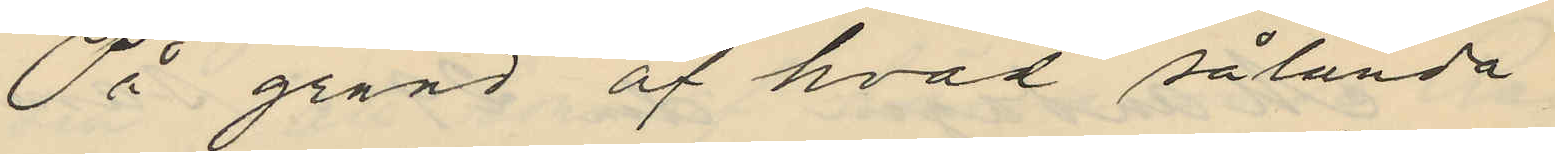På grund af hvad sålunda
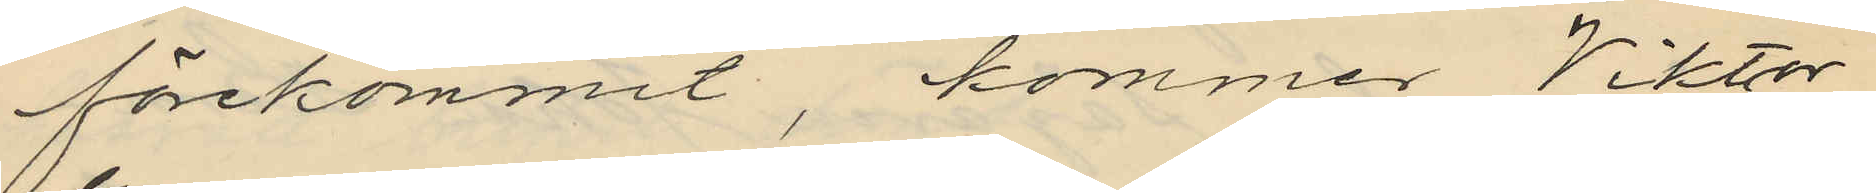förekommit, kommer Viktor
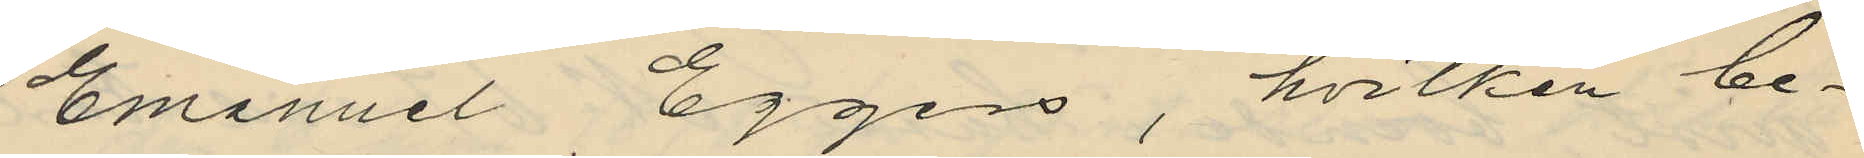Emanuel Eggers, hvilken be¬
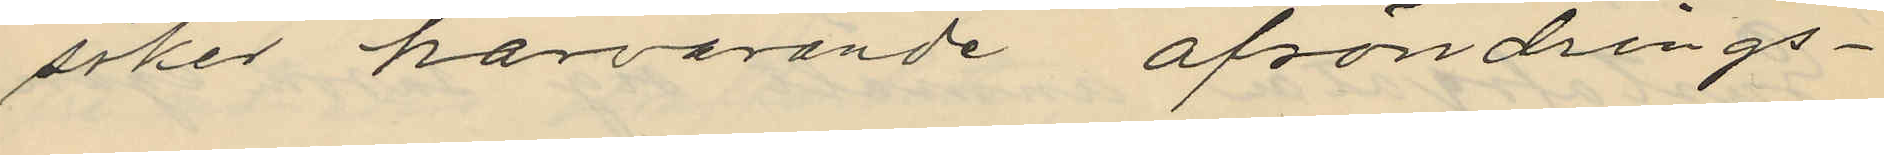söker härvarande afsöndrings¬
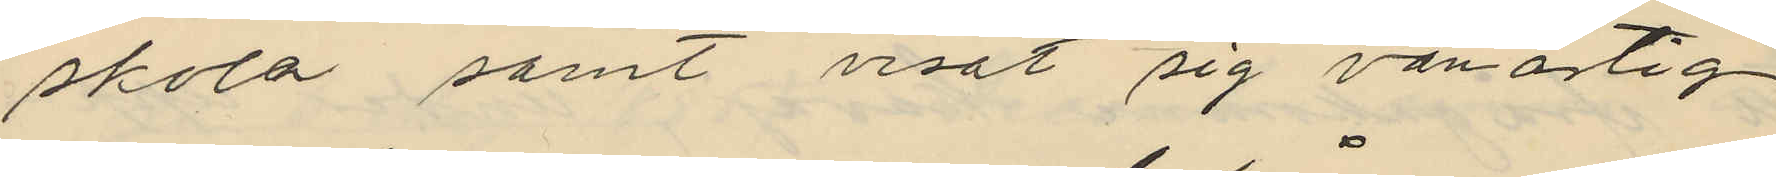skola samt visat sig vanartig
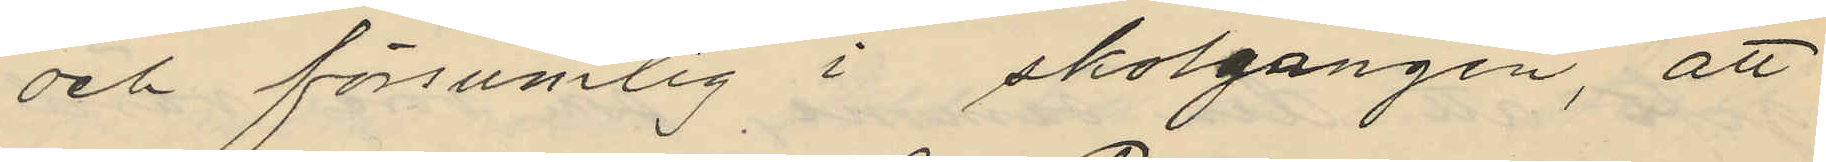och försumlig i skolgången, att
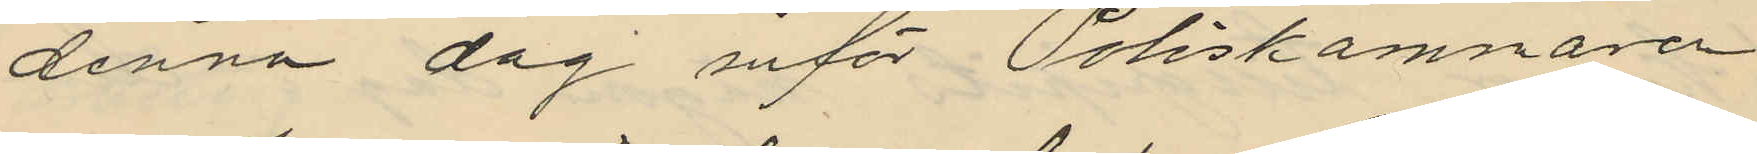denna dag inför Poliskamnaren
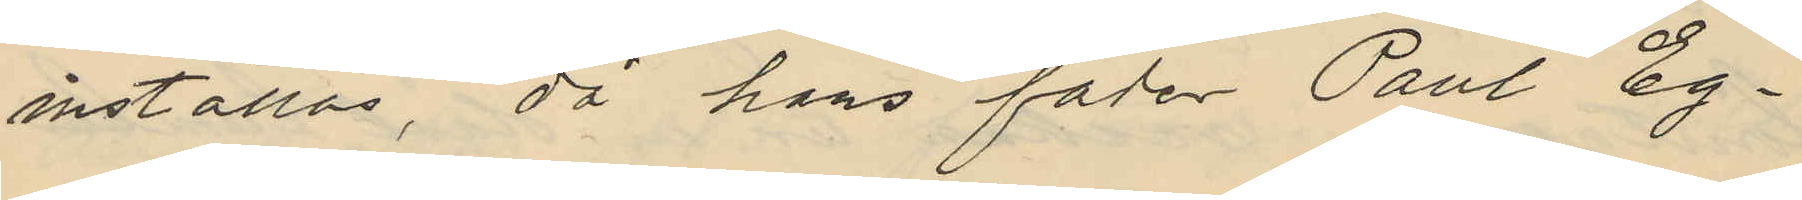inställas, då hans fader Paul Eg¬
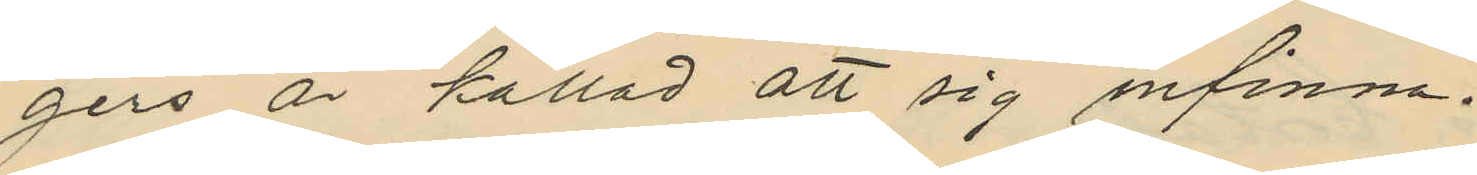gers är kallad att sig infinna.
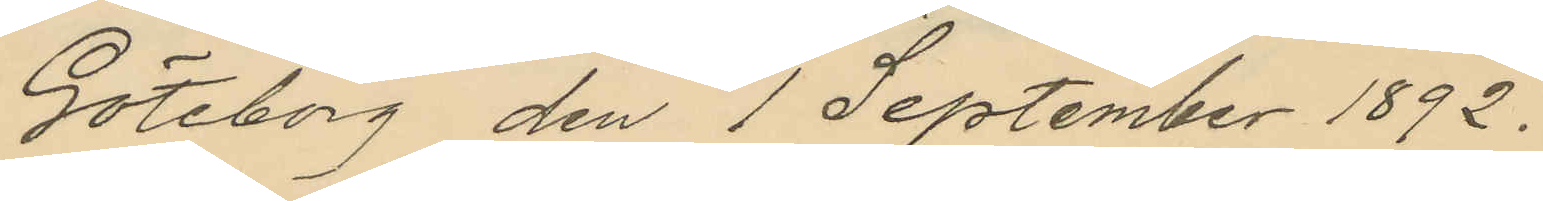Göteborg den 1 September 1892.
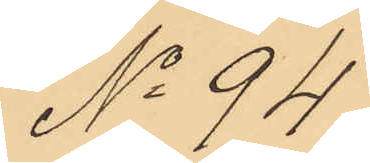No 94
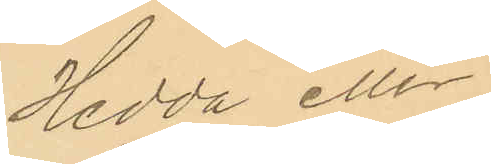Hedda eller
